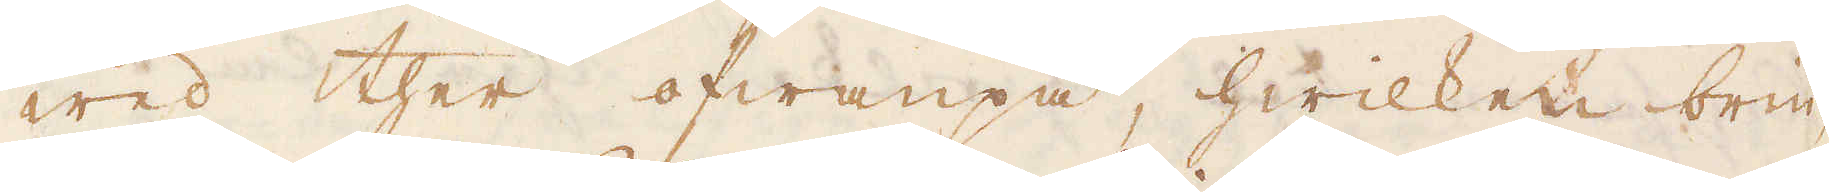wed ther ofwanpå, hwilken brin-
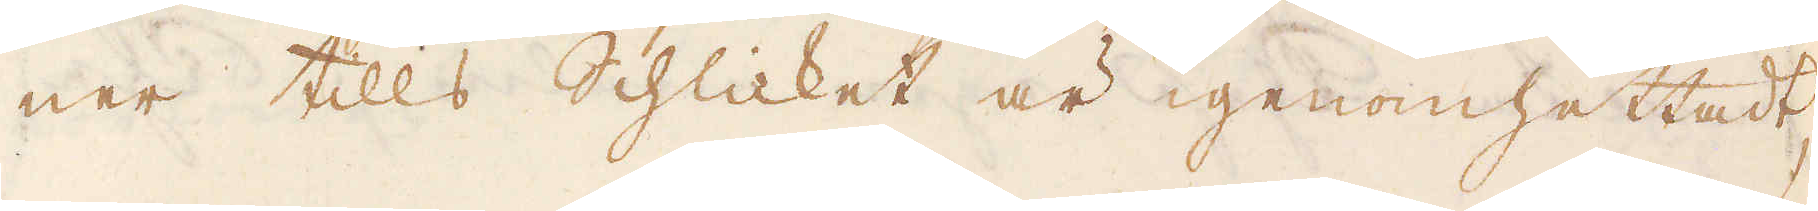ner tills Schlicket är igenomhettadt,
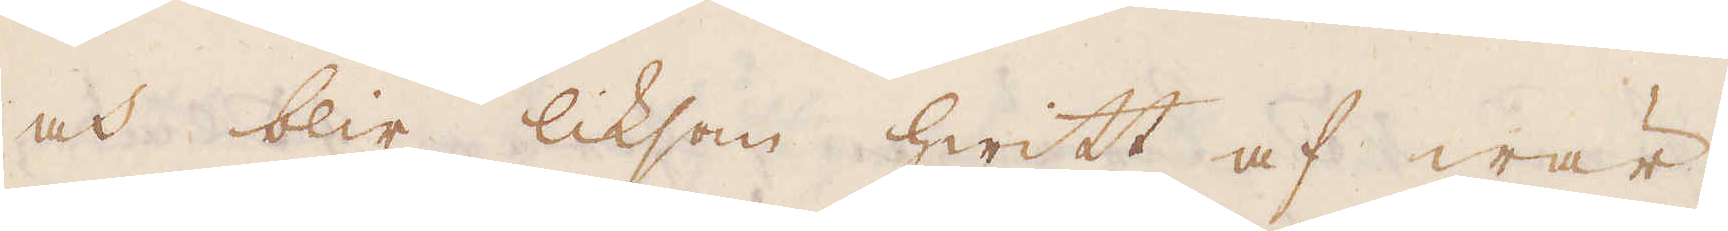och blir liksom hwitt af wär-
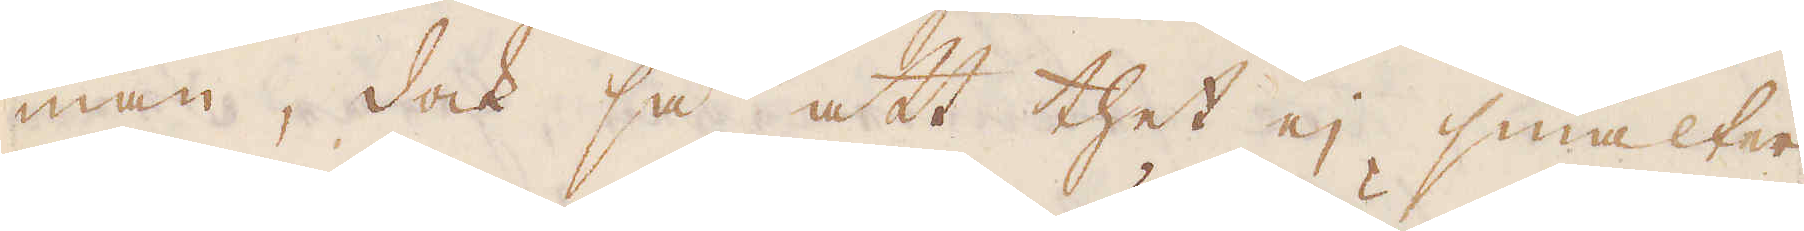man, dock så att thet ej smälter;
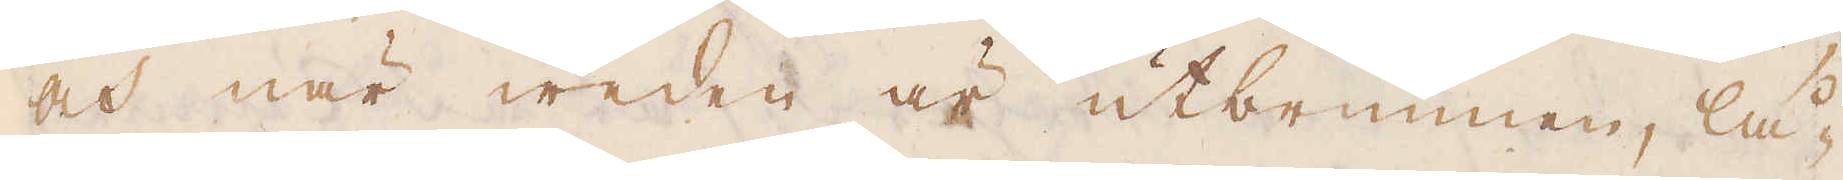och när weden är utbrunnen, lå-
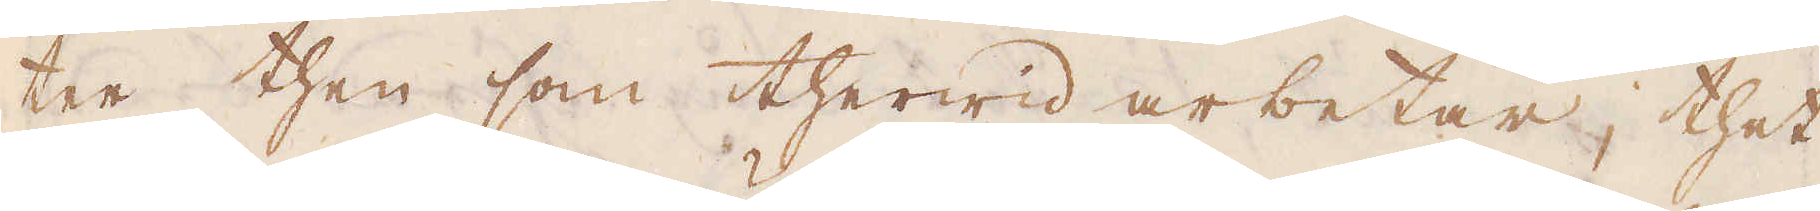ter then som therwid arbetar, thet
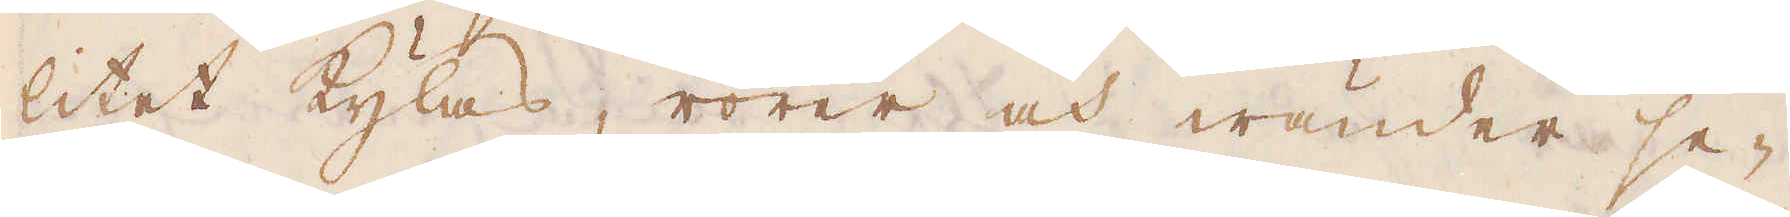litet kylas, rörer och wänder se-
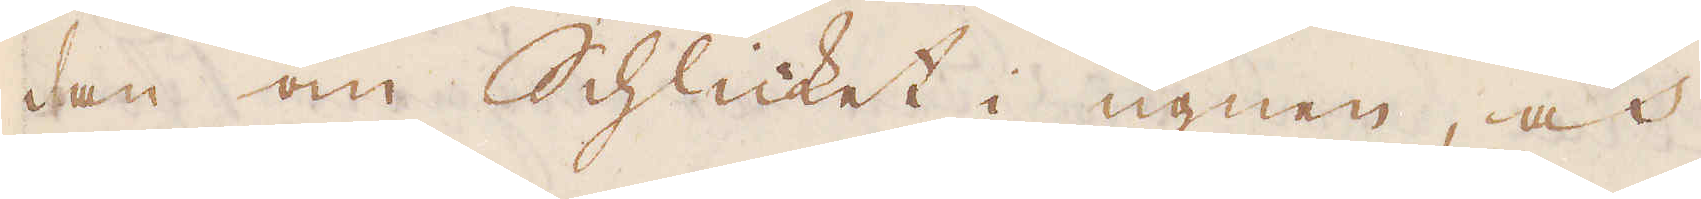dan om Schlicket i ugnen, och
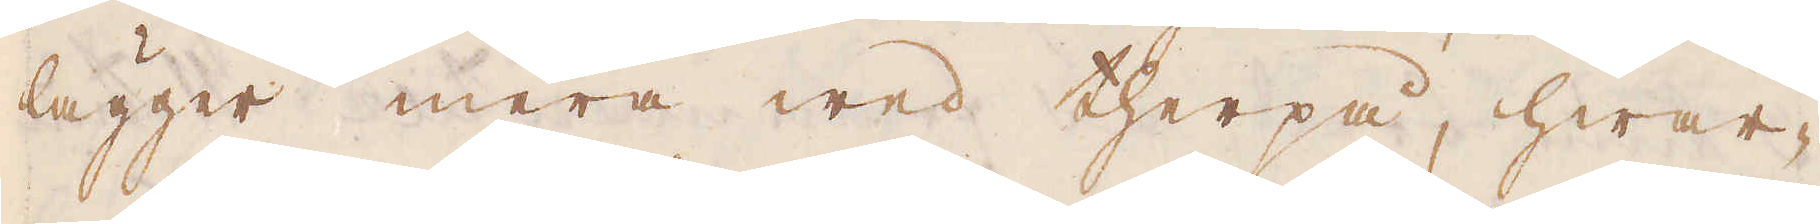lägger mera wed therpå, hwar-
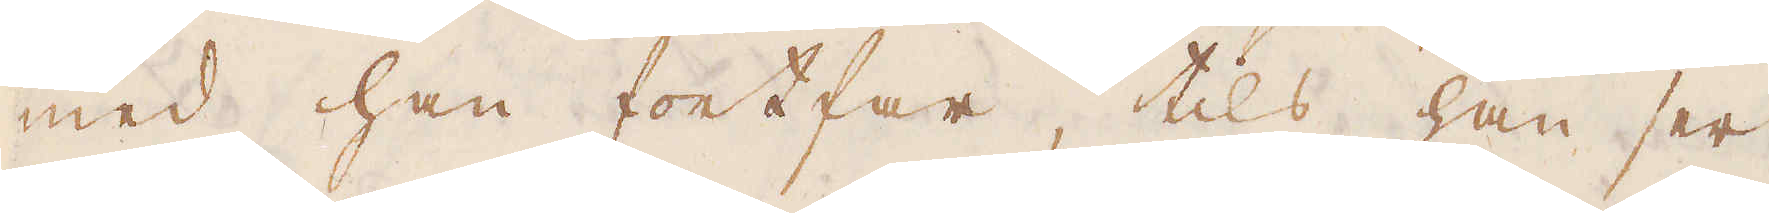med han fortfar, tils han ser
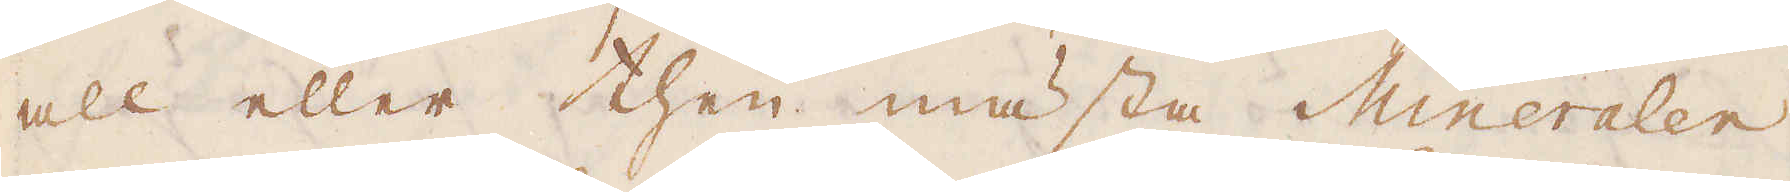all eller then mästa Mineralen
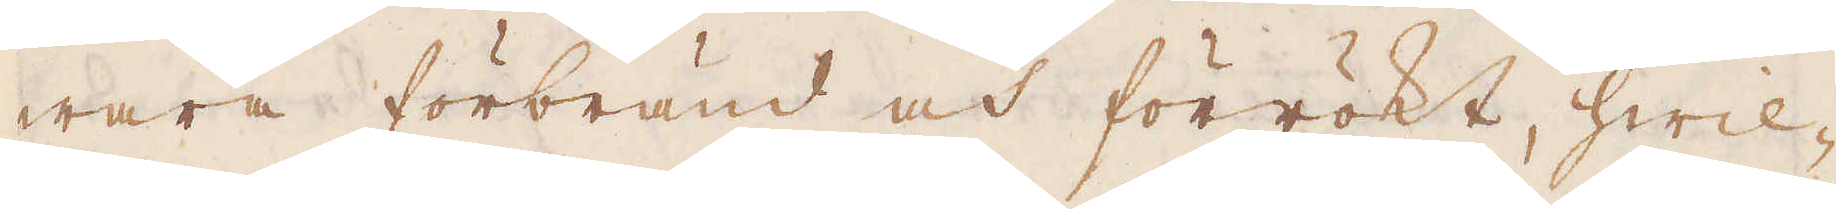wara förbränd och förrökt, hwil-
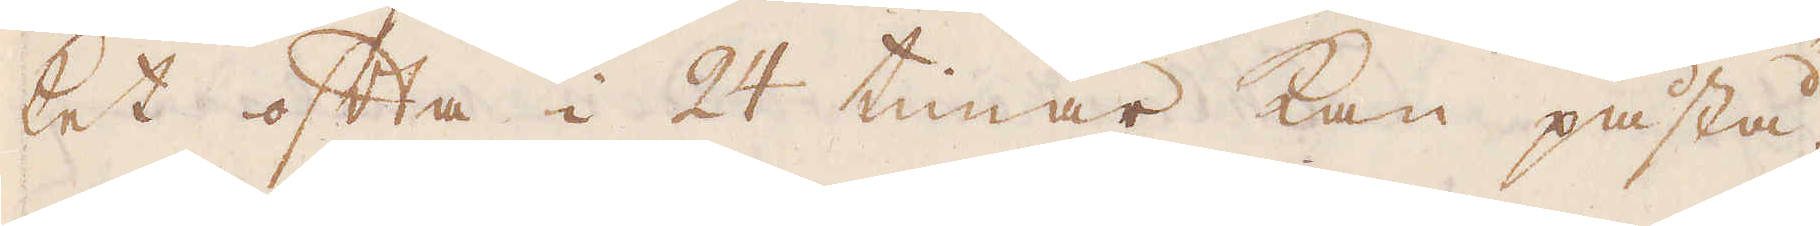ket ofta i 24 timar kan påstå.
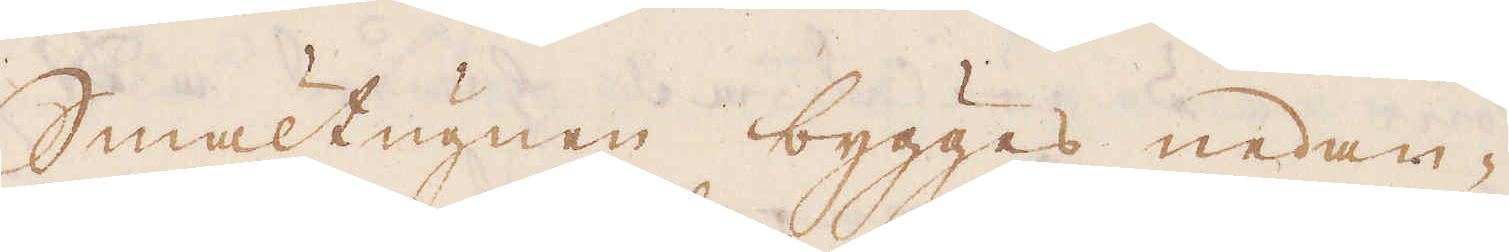Smältugnen bygges nedan-
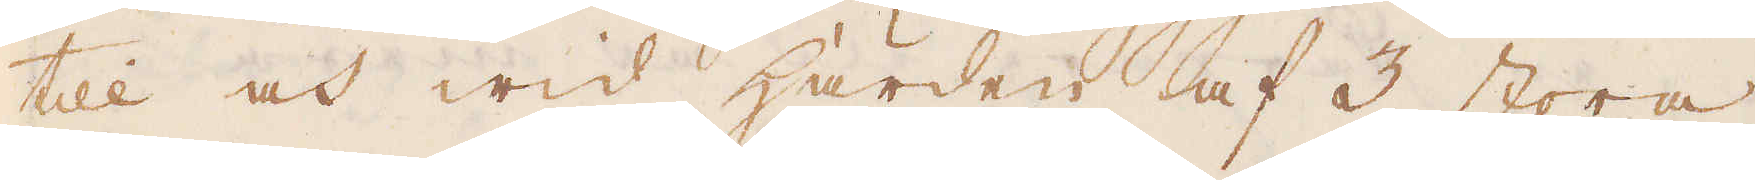till och wid härden af 3 stora
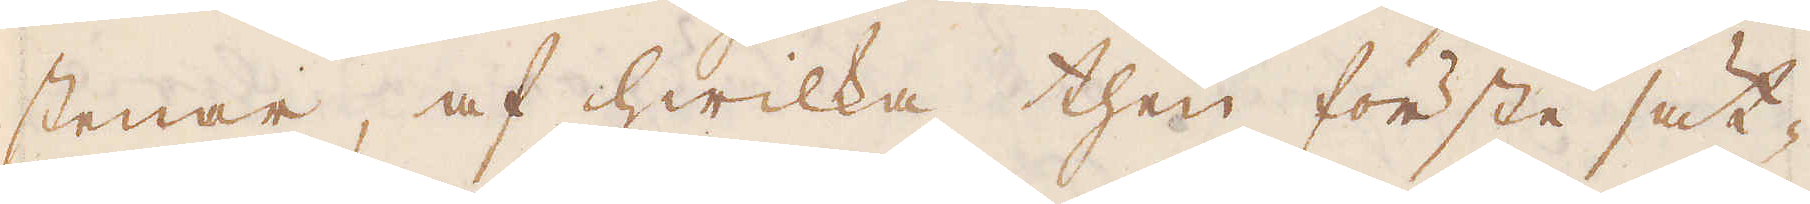stenar, af hwilka then förste sät-
